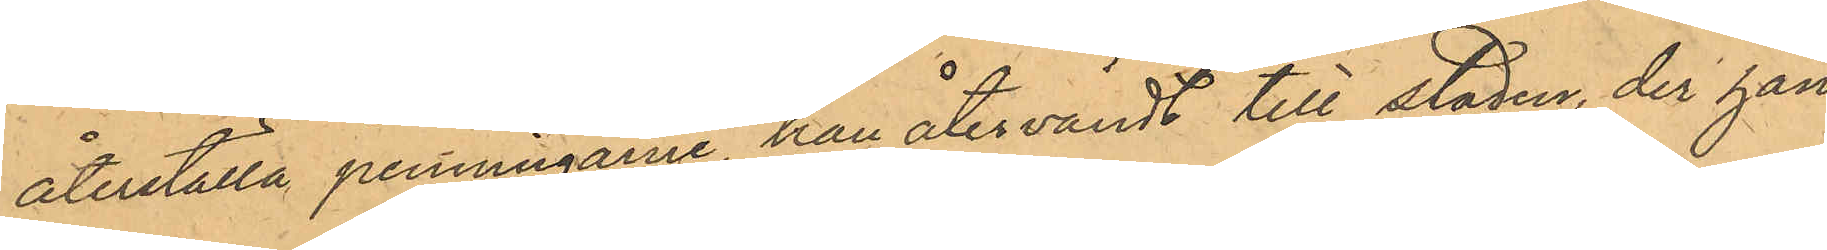återställa penningarne, han återvändt till staden, der han
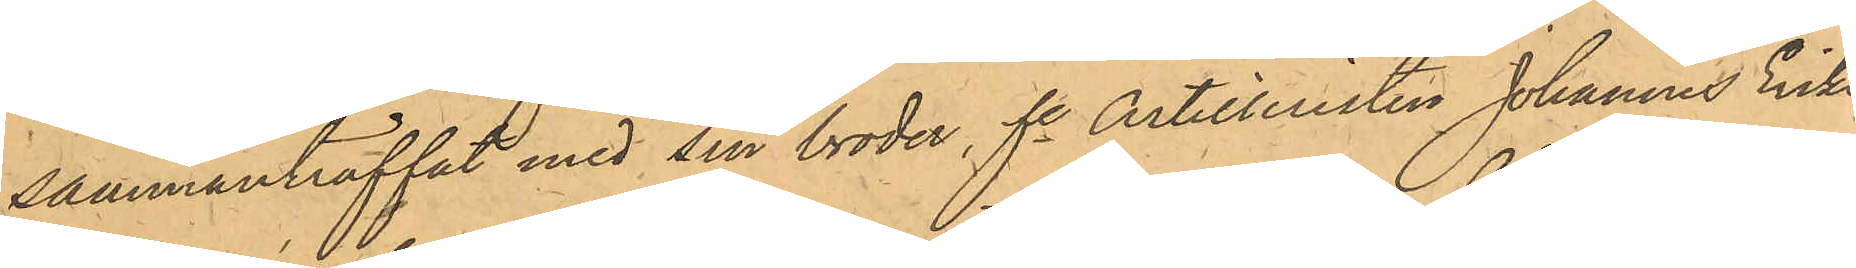sammanträffat med sin broden fe Artilleristen Johannes Eriks¬
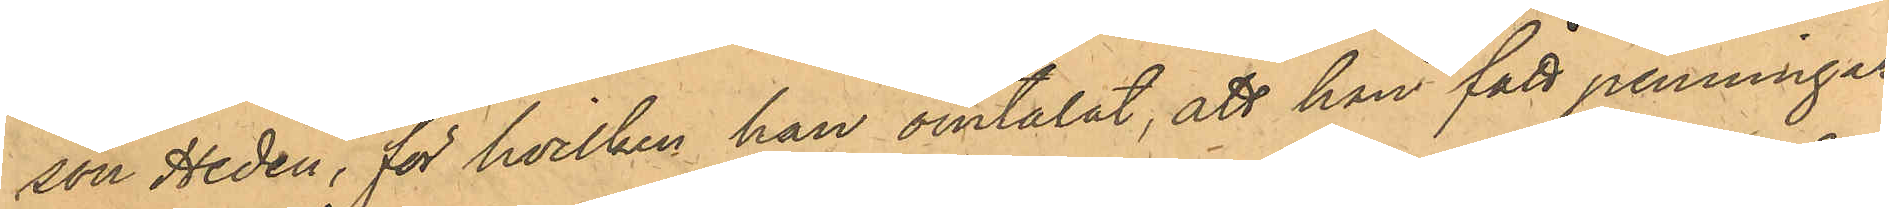son Hedén, för hvilken han omtalat, att han fått penningar
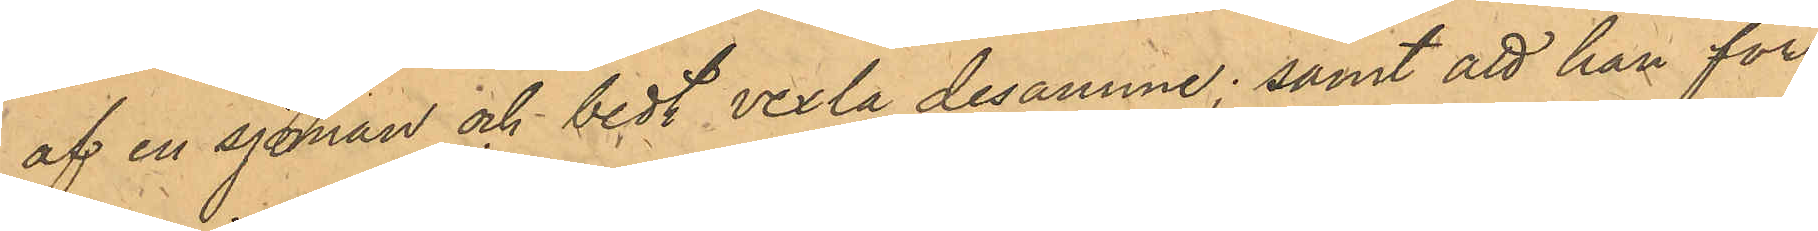af en sjöman och bedt vexla desamme; samt att han för
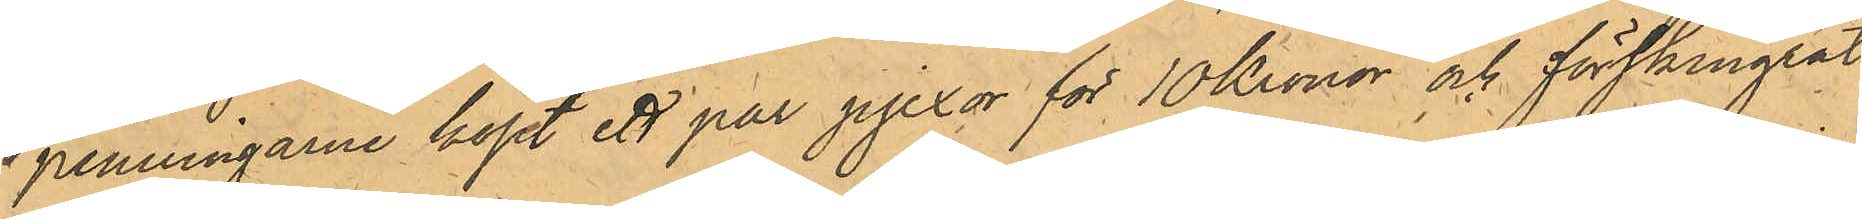penningarne köpt ett par pjexor för 10 Kronor och förskingrat
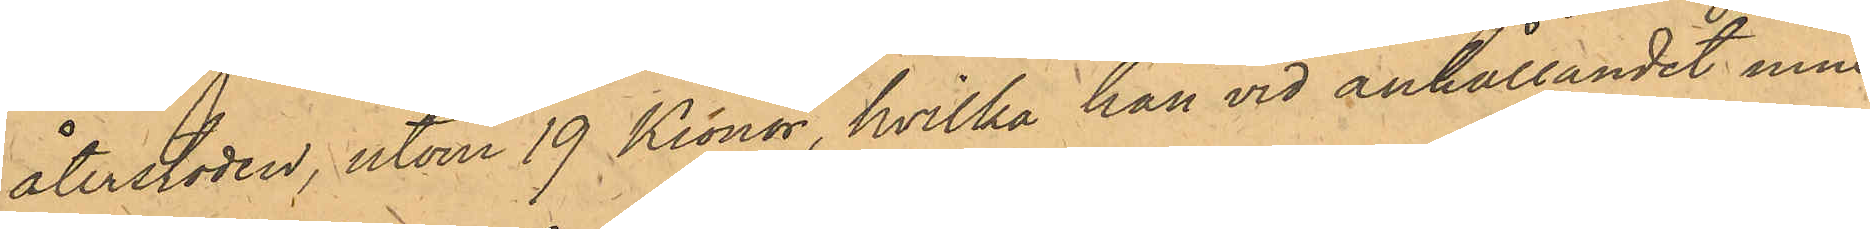återstoden, utom 19 Kronor, hvilka han vid anhållandet inne¬
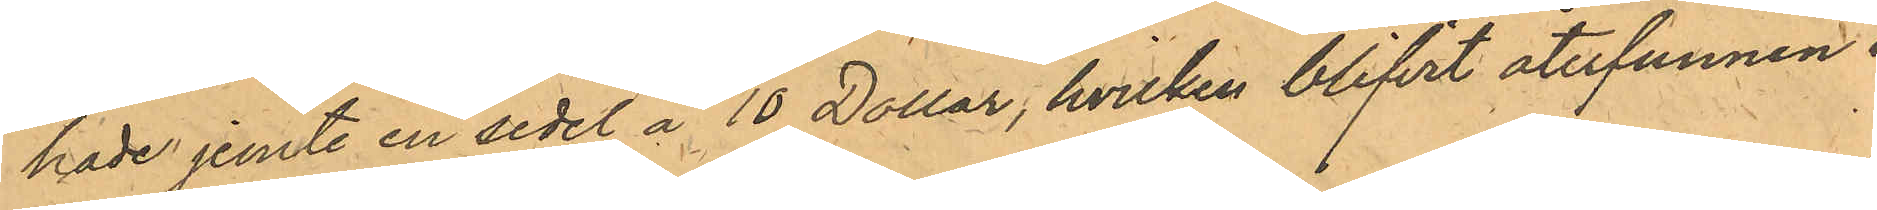hade jemte en sedel å 10 Dollar, hvilken blifvit återfunnen i
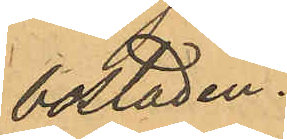bostaden.
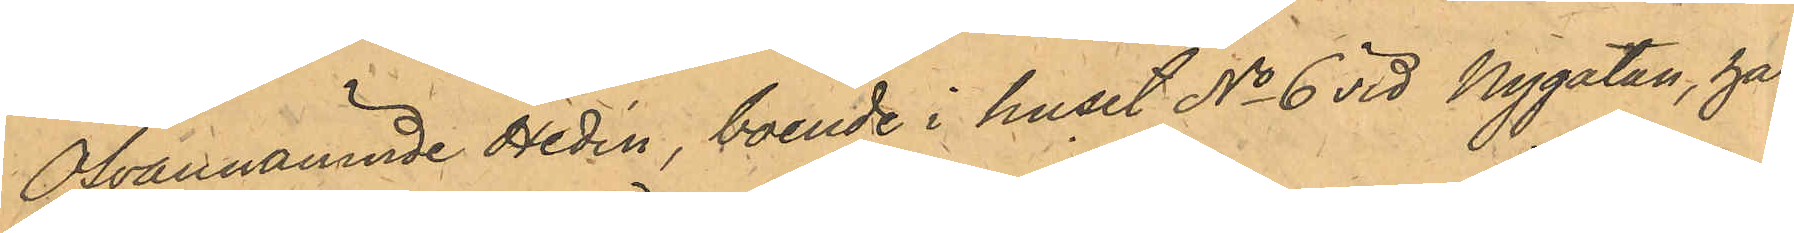Ofvannämnde Hedén, boende i huset No 6 vid Nygatan, har
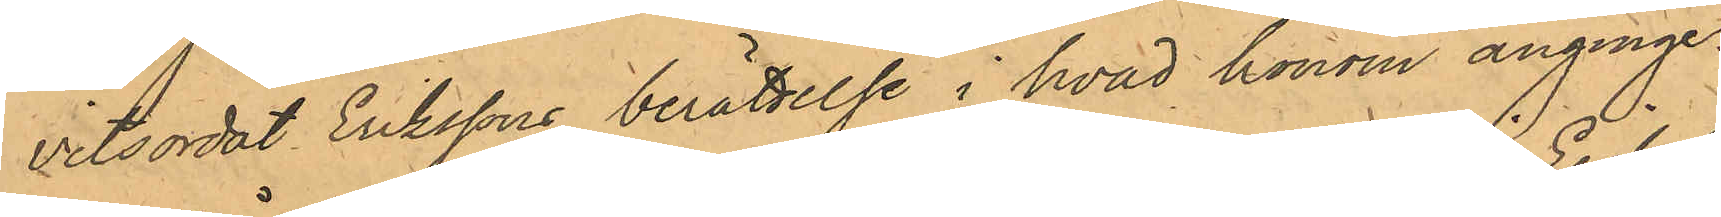vitsordat Erikssons berättelse i hvad honom anginge.
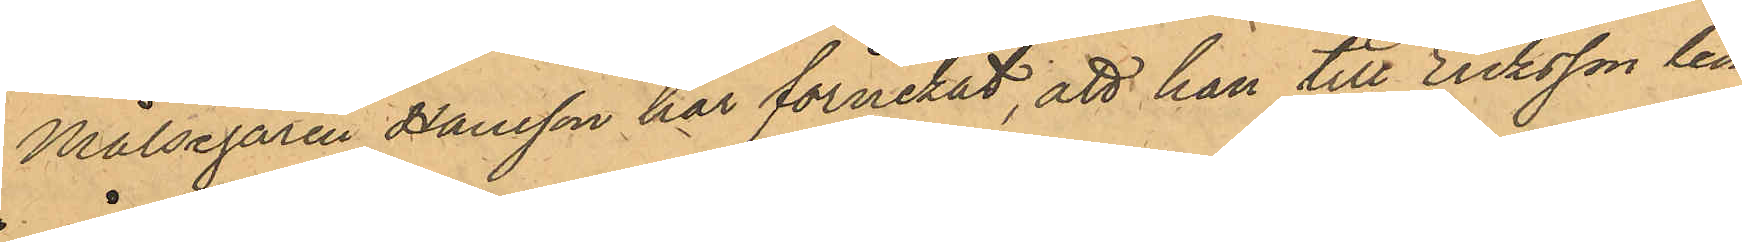Målsegaren Hansson har förnekat, att han till Eriksson lem¬
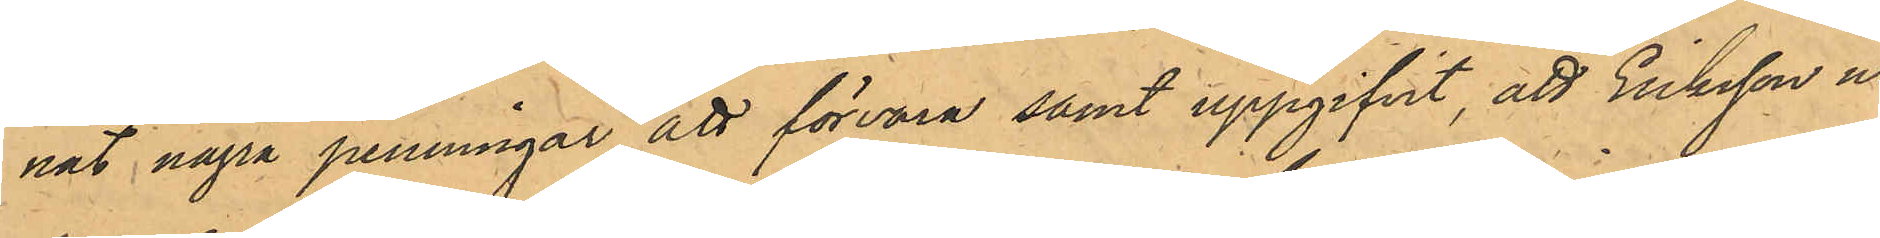nat några penningar att förvara samt uppgifvit, att Eriksson ur
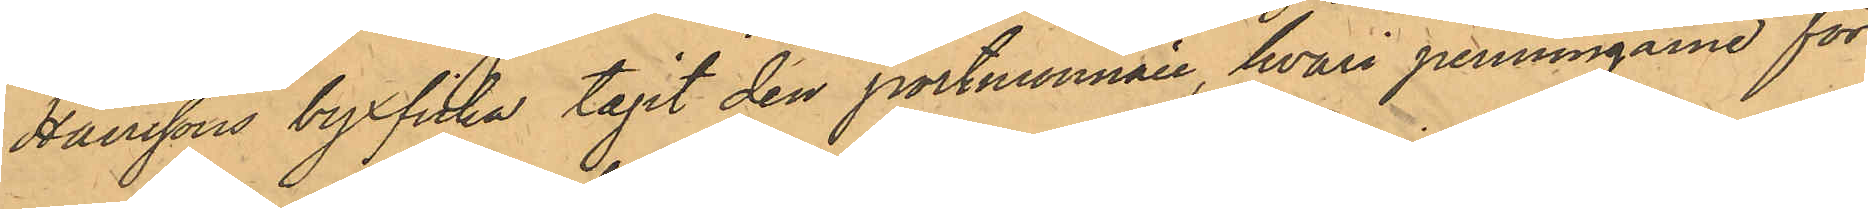Hanssons byxficka tagit den portmonnaie, hvari penningarne för¬
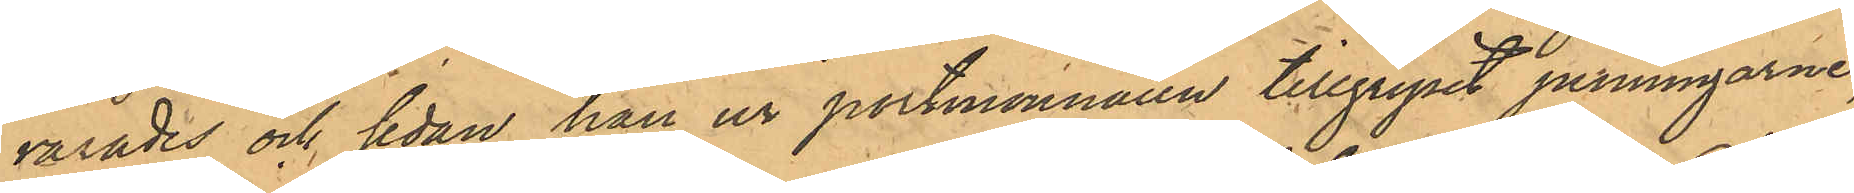varades och sedan han ur portmonnaien tillgripit penningarne,
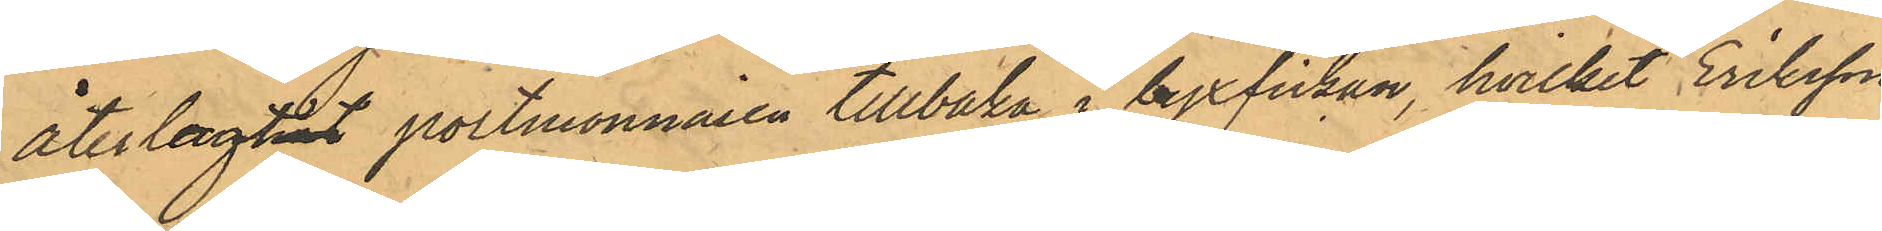återlagtnat portmonnaien tillbaka i byxfickan, hvilket Eriksson
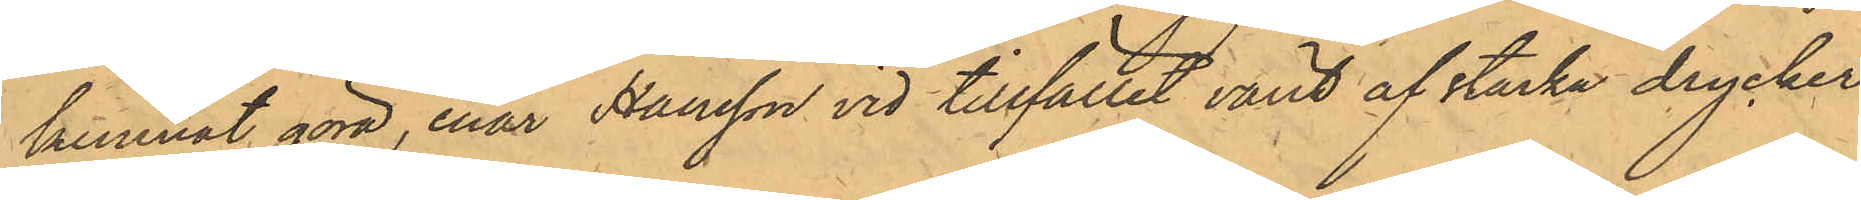kunnat göra, enär Hansson vid tillfället varit af starka drycker
